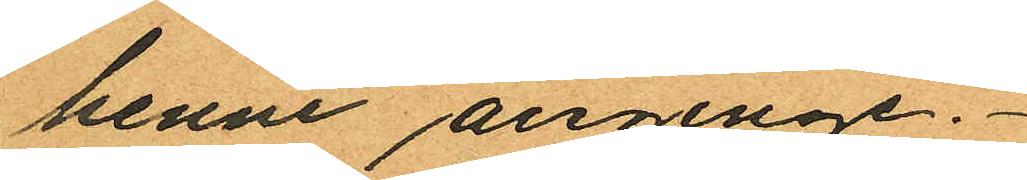henne anginge.
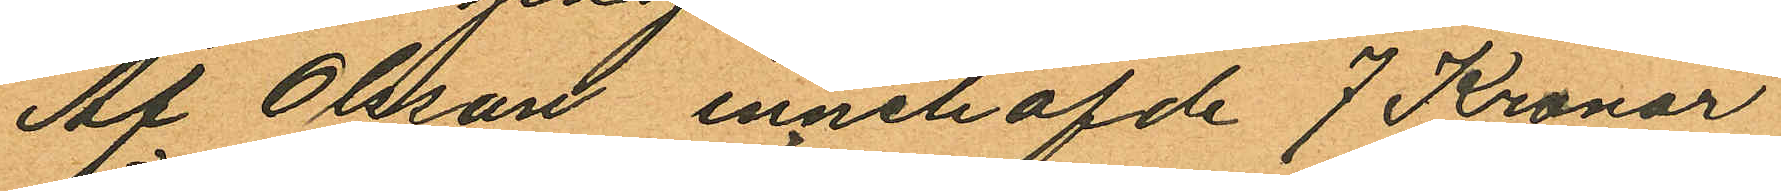Af Olsson innehafde 7 Kronor
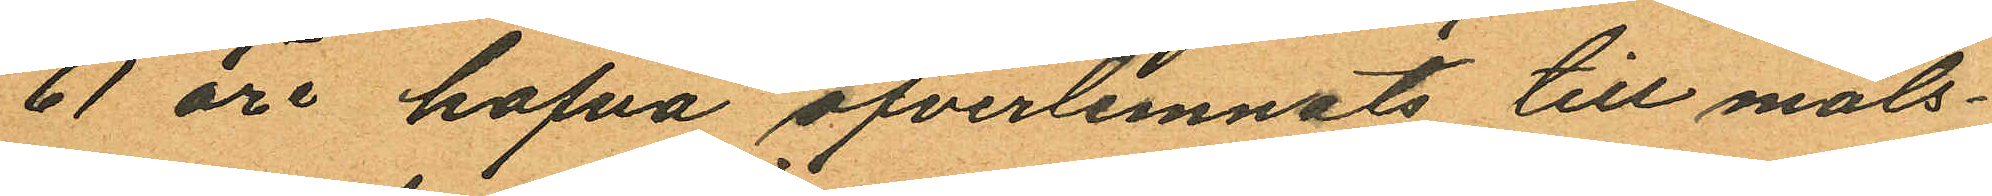61 öre hafva öfverlemnats till måls¬
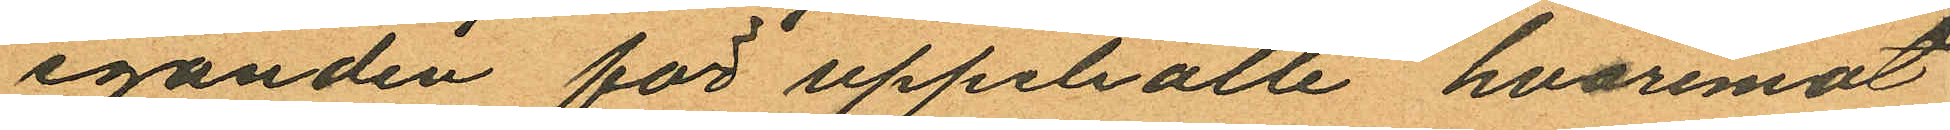eganden för uppehälle, hvaremot
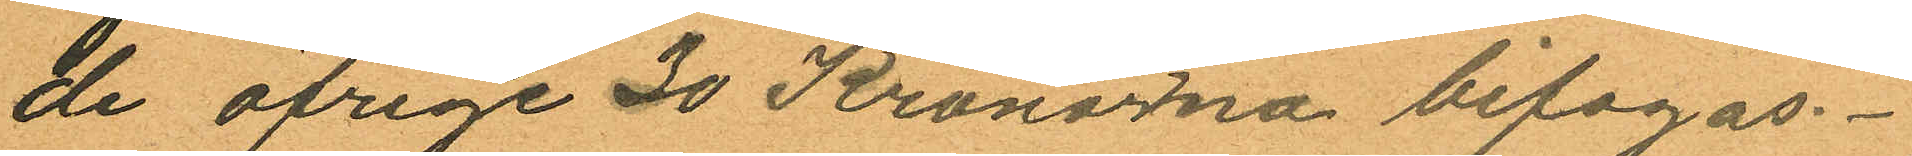de öfrige 30 Kronorna bifogas.
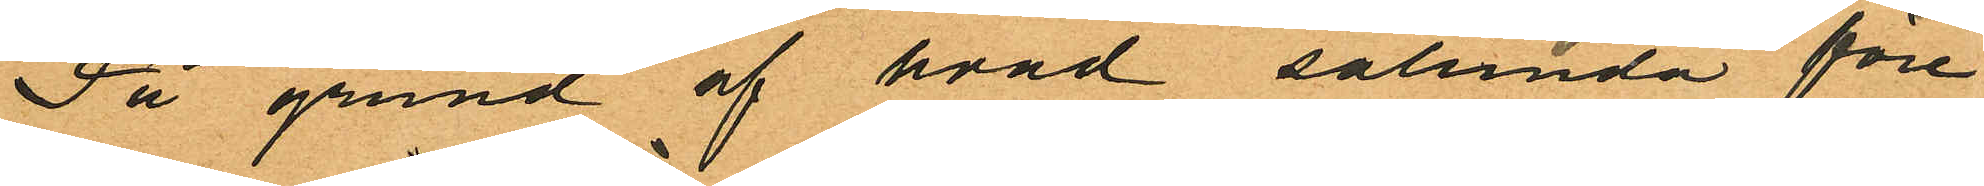På grund af hvad sålunda före
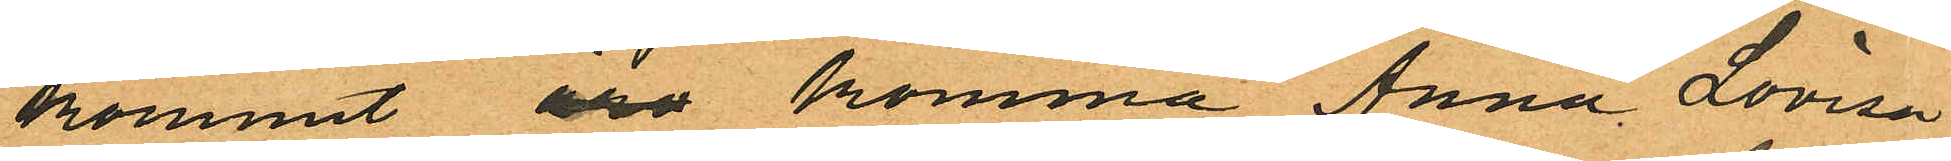kommit äro komma Anna Lovisa
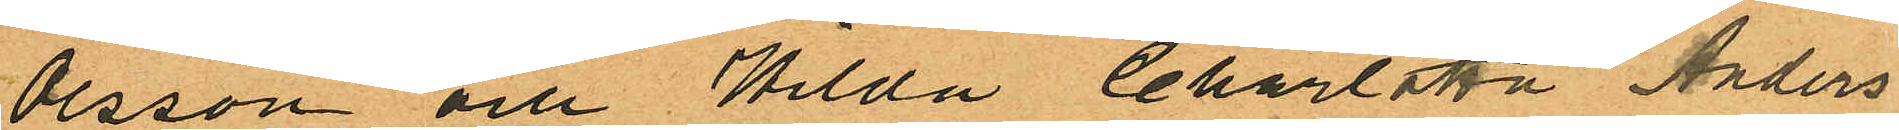Olsson och Hilda Charlotta Anders
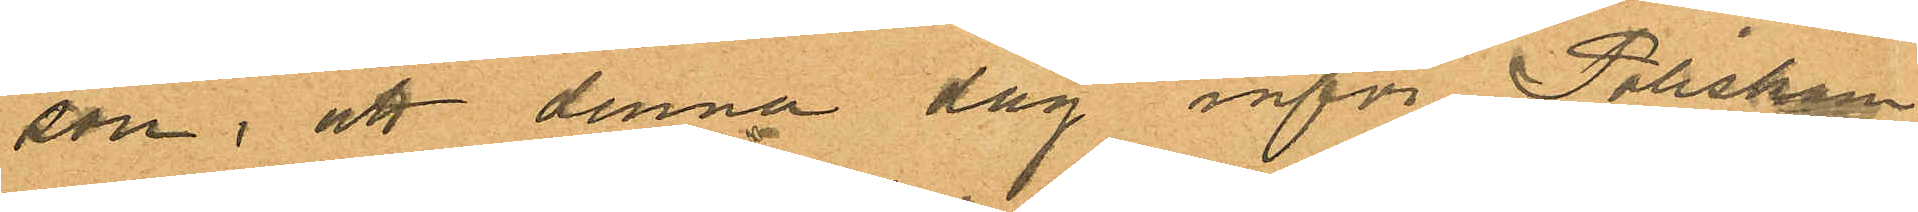son, att denna dag inför Poliskam¬
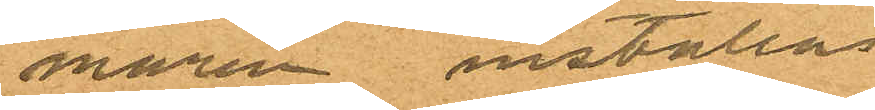maren inställas
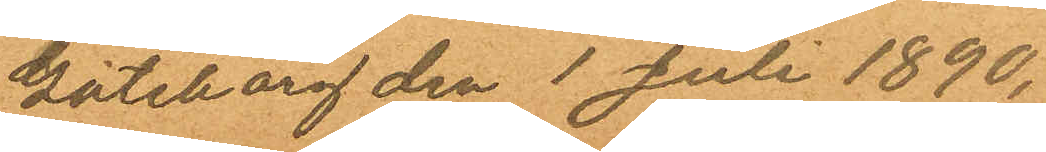Göteborg den 1 Juli 1890.
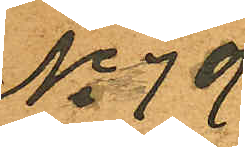No 79
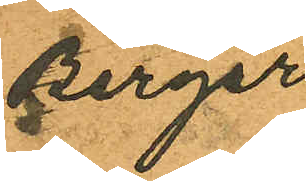Birger
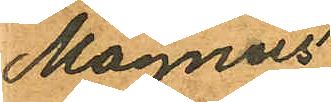Magnus
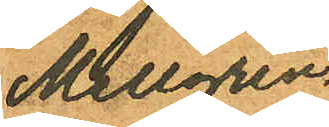Mellgren
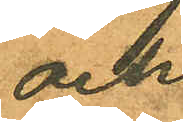och
